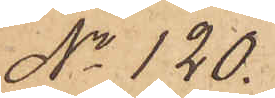No 120.
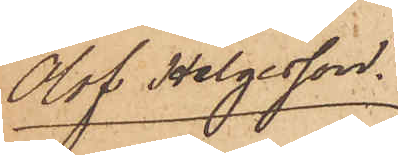Olof Helgesson.
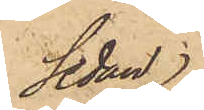Sedan
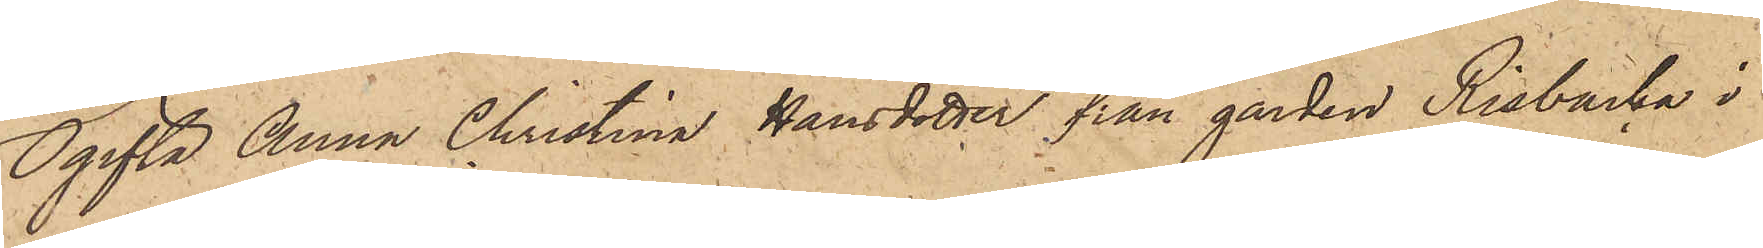Ogifta Anna Christina Hansdotter från gården Risbacka i
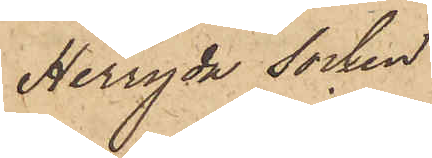Herryda socken
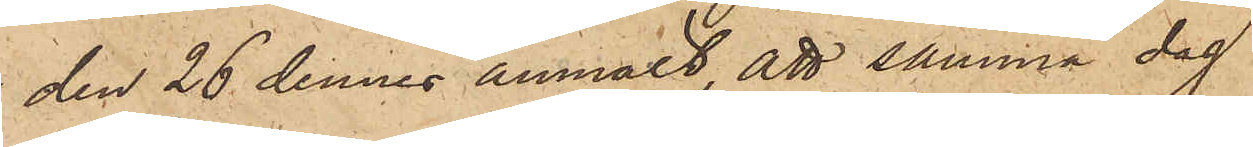den 26 dennes anmält, att samma dag
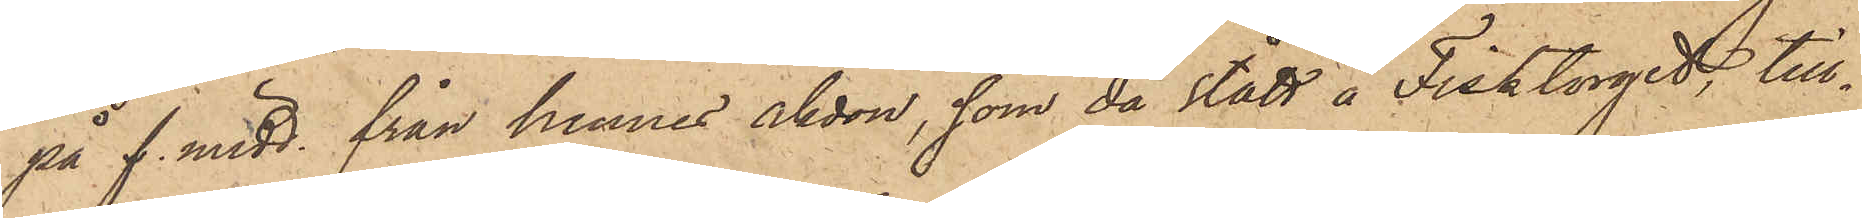på f. midd. från hennes åkdon, som då stått å Fisktorget, till¬
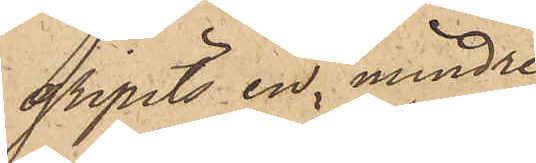gripits en mindre
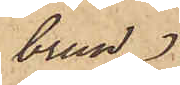brun
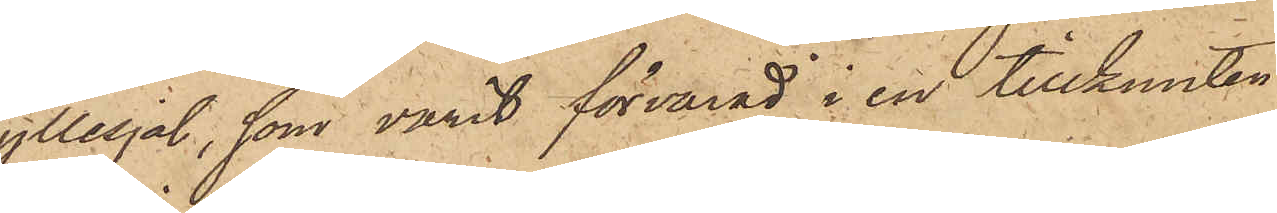yllesjal, som varit förvarad i en tillbunden
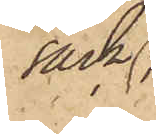säck,
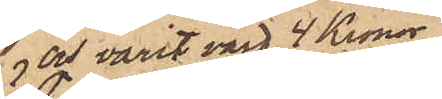och varit värd 4 Kronor;
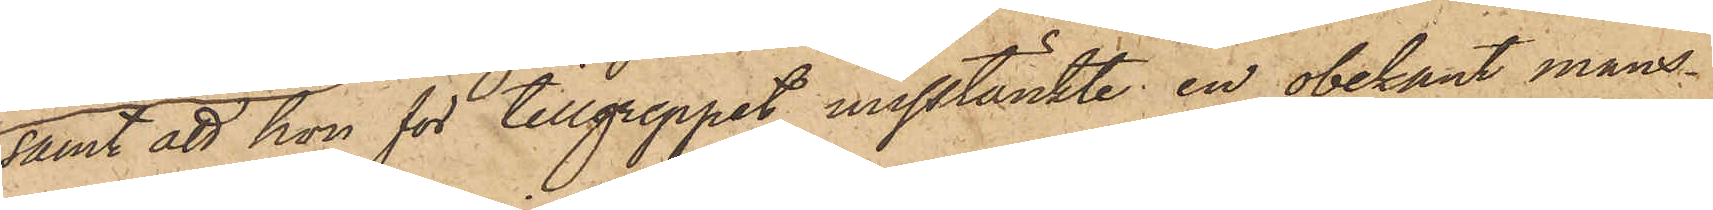samt att hon för tillgreppet misstänkte en obekant mans¬
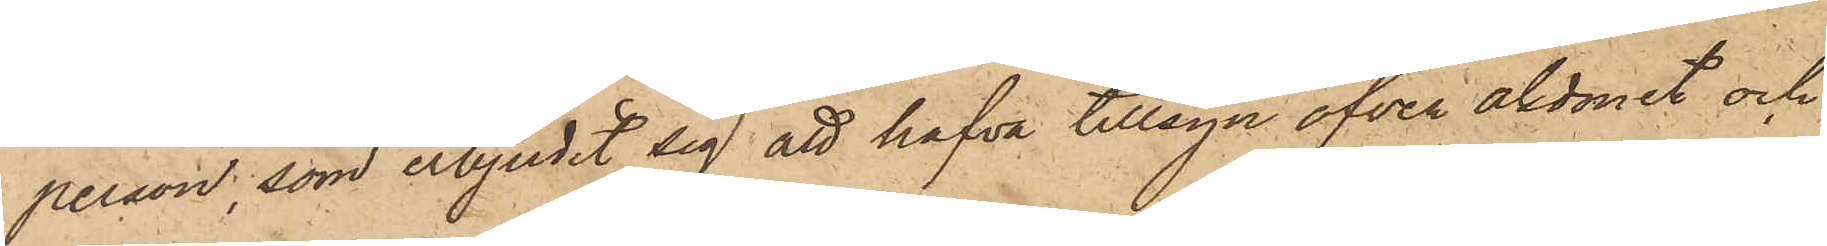person, som erbjudit sig att hafva tillsyn öfver åkdonet och
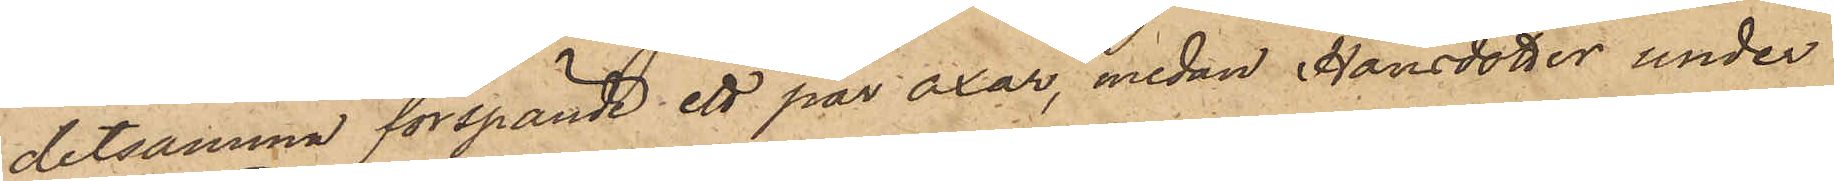detsamma förspända ett par oxar, medan Hansdotter under
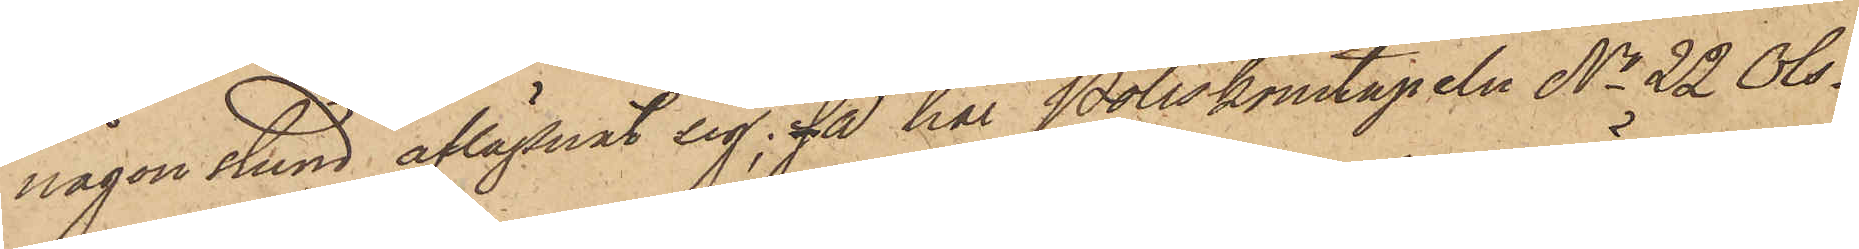någon stund aflägsnat sig; så har Poliskonstapeln No 22 Ols¬
